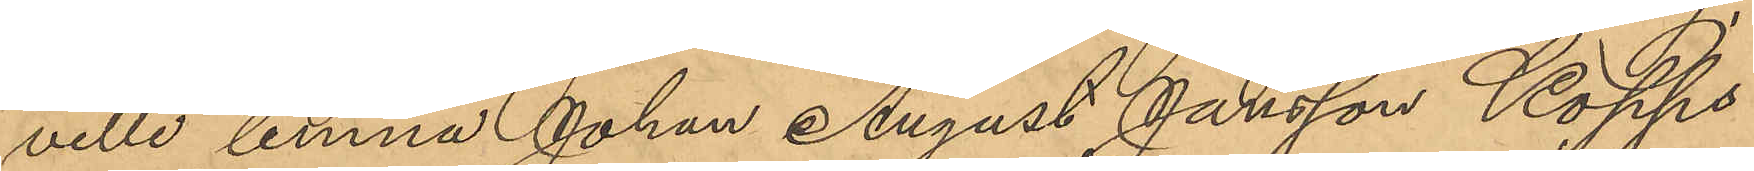ville lemna Johan August Jansson Kopps
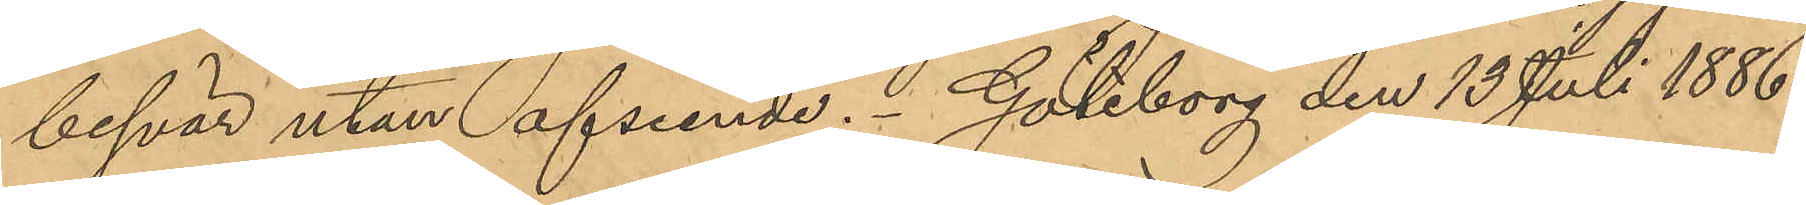besvär utan afseende. Göteborg den 13 Juli 1886.
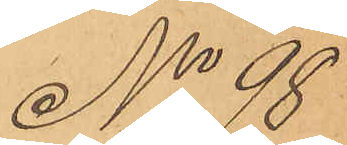No 98
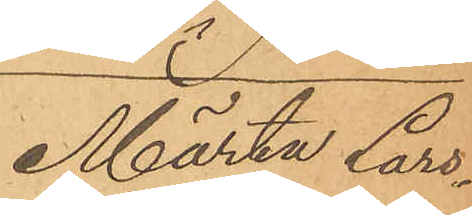Märta Lars¬
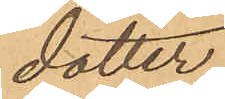dotter.
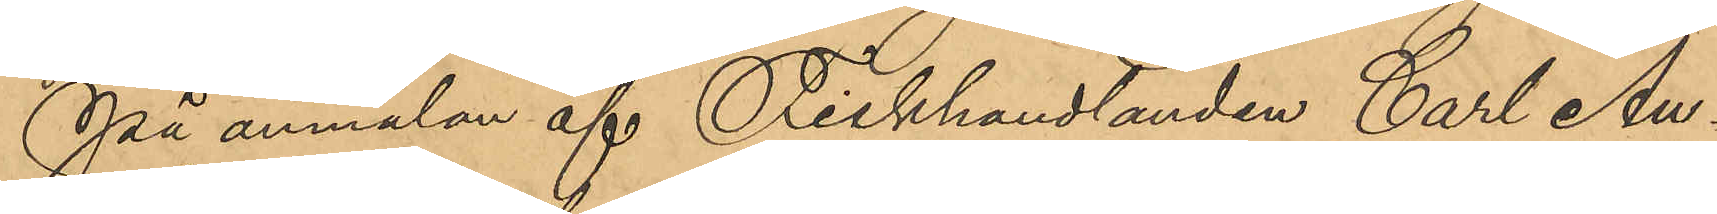På anmälan af Fiskhandlanden Carl Au¬
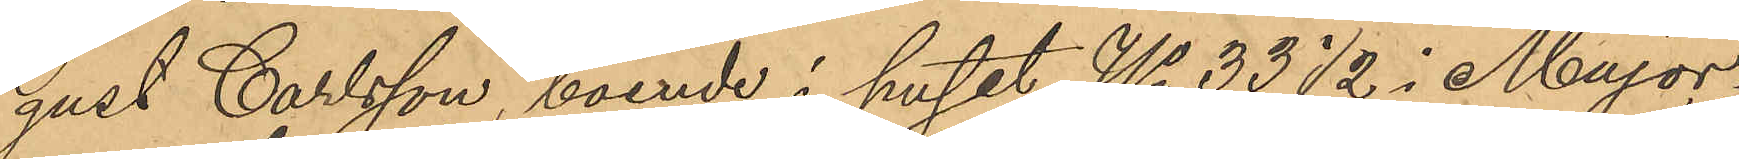gust Carlsson, boende i huset No 33½ i Major¬
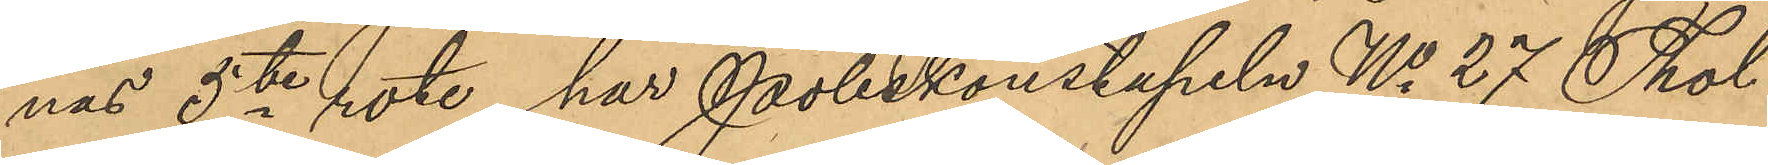nas 5te rote, har Poliskonstapeln No 27 Thol¬
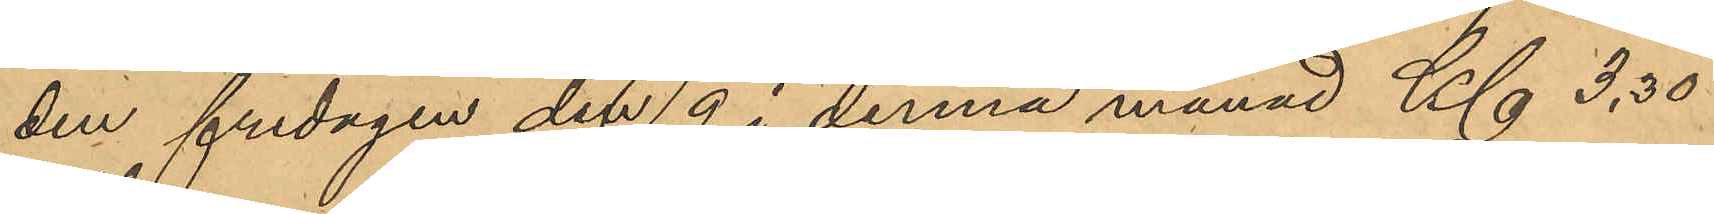den fredagen den 9 i denna månad Kl 3,30
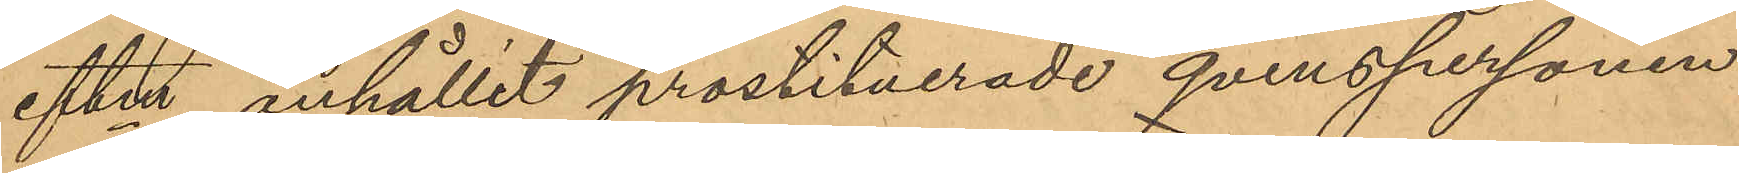eftm anhållit prostituerade qvinspersonen
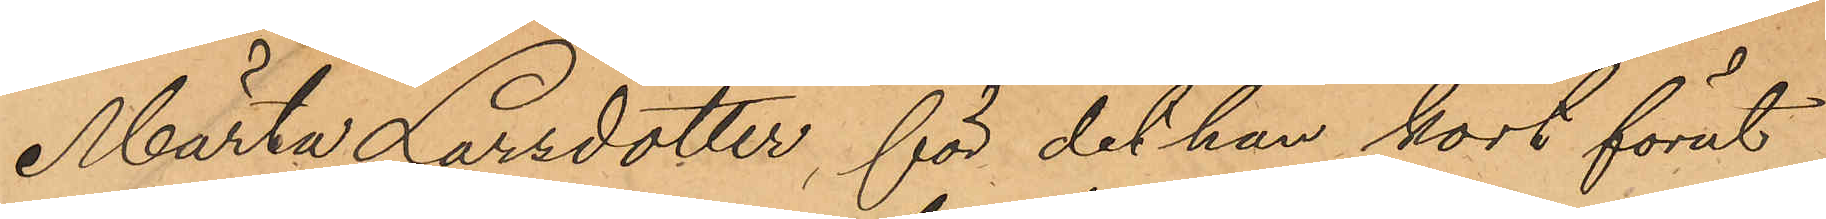Märta Larsdotter, för det hon kort förut
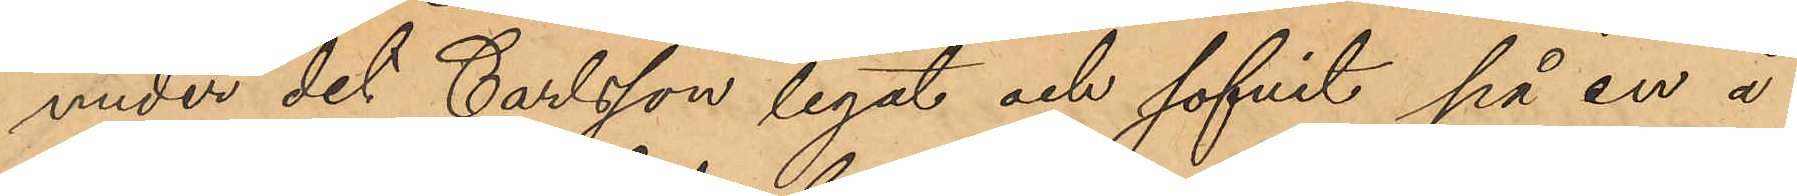under det Carlsson legat och sofvit på en å
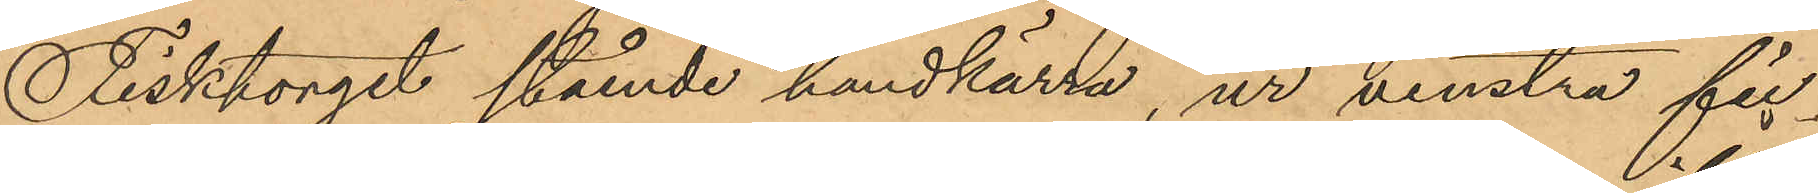Fisktorget stående handkärra, ur venstra fic¬
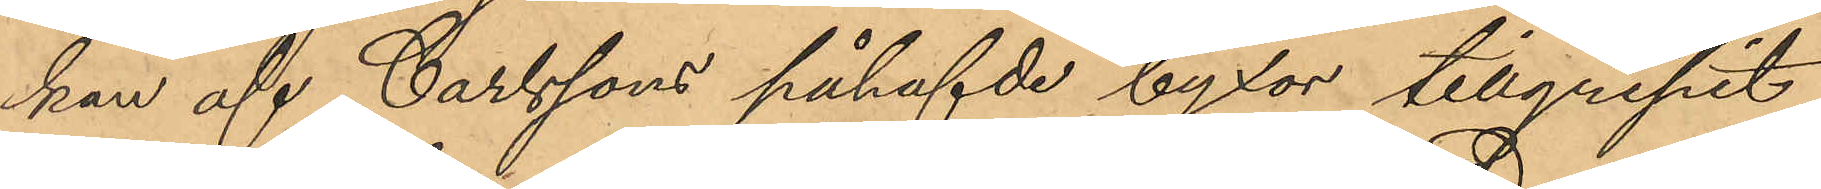kan af Carlssons påhafvde byxor tillgripit
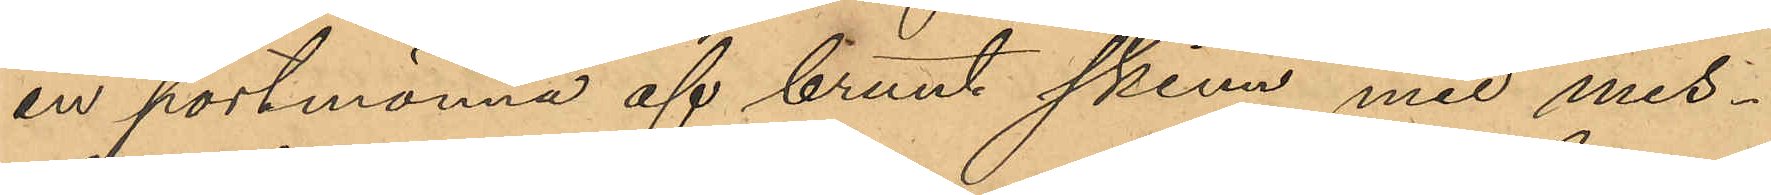en portmonnä af brunt skinn med mes¬
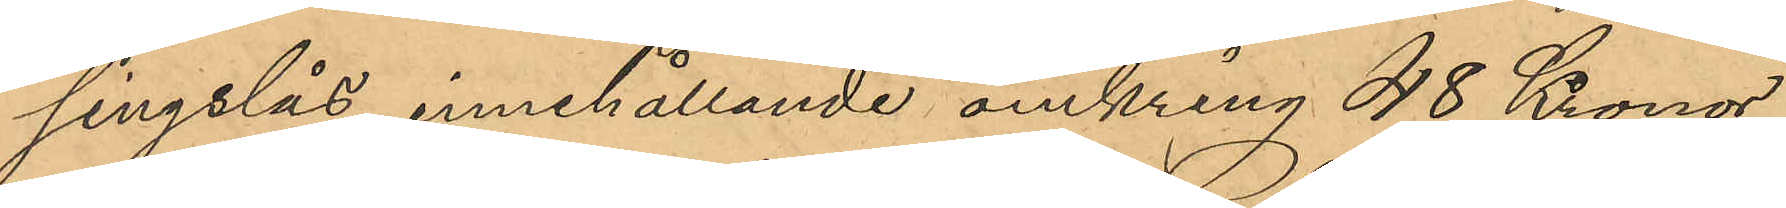singslås, innehållande omkring 48 Kronor,
